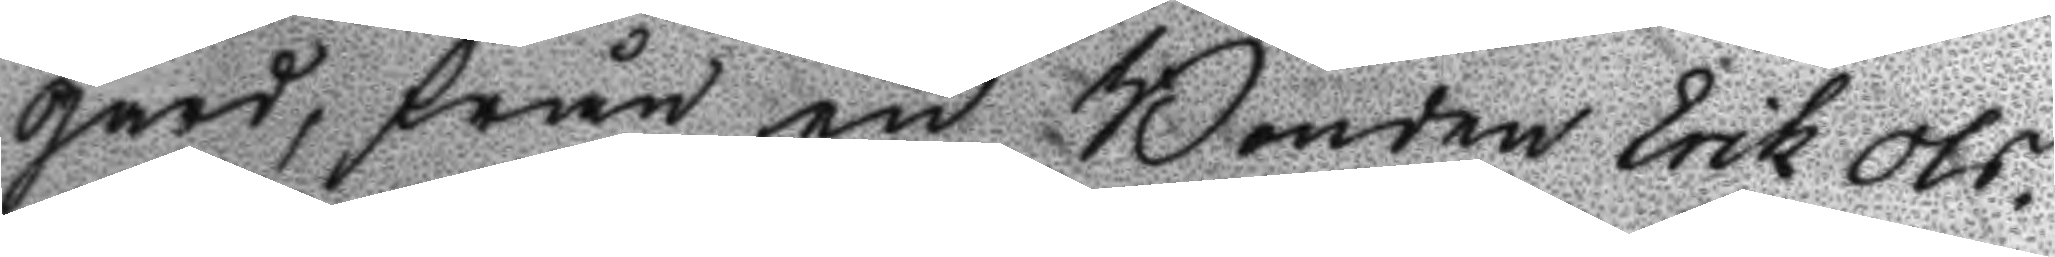gård, från en Bonden Erik Ols¬
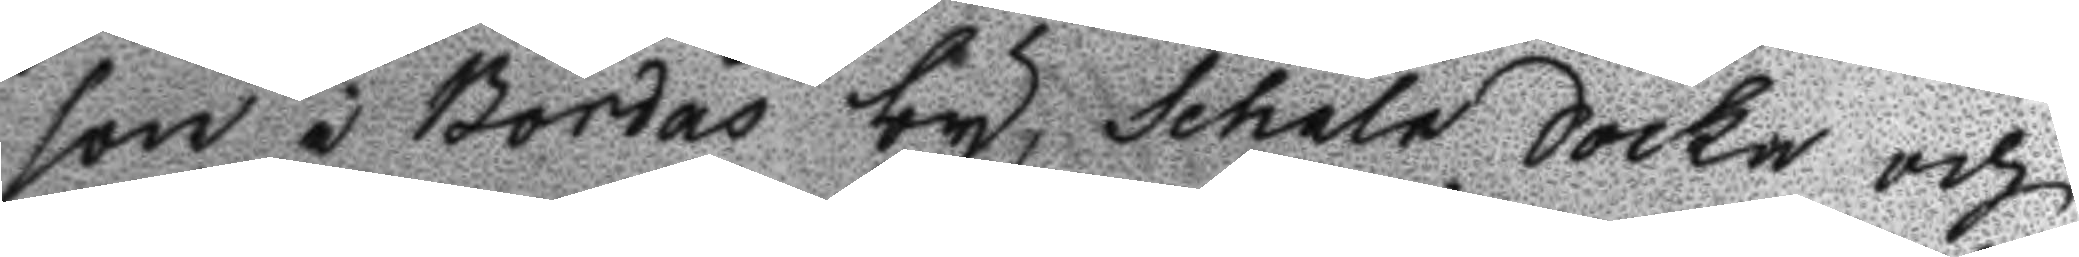son i Bordås by, Schala Sockn och
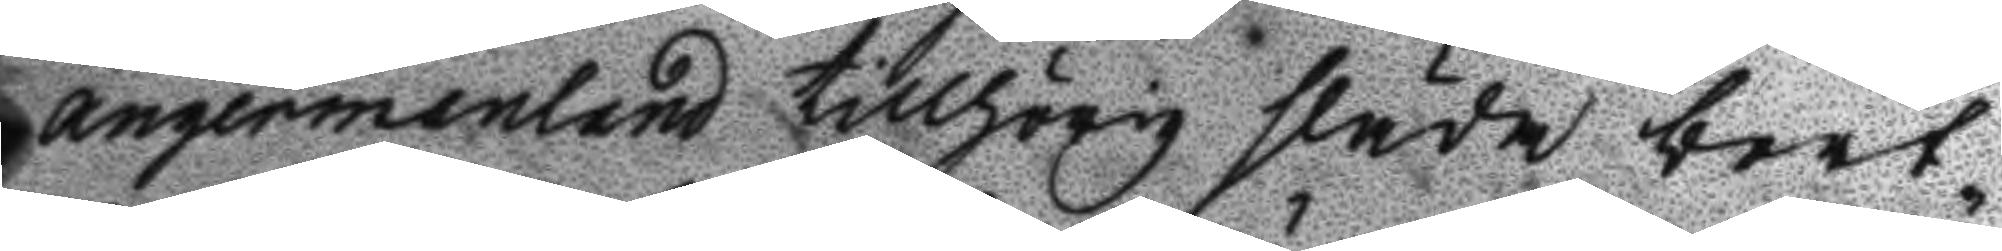ångermanland tillhörig släda bort¬
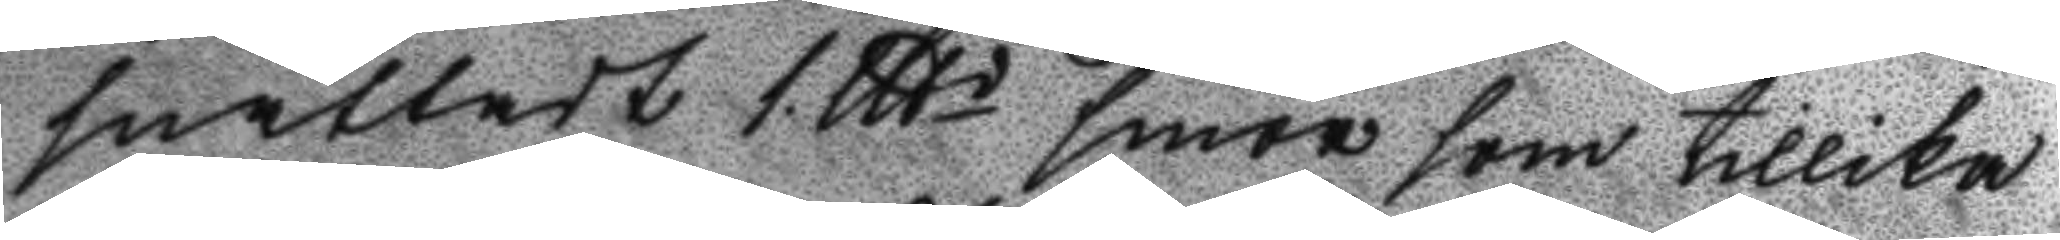snattadt 1 lltd smör som tillika
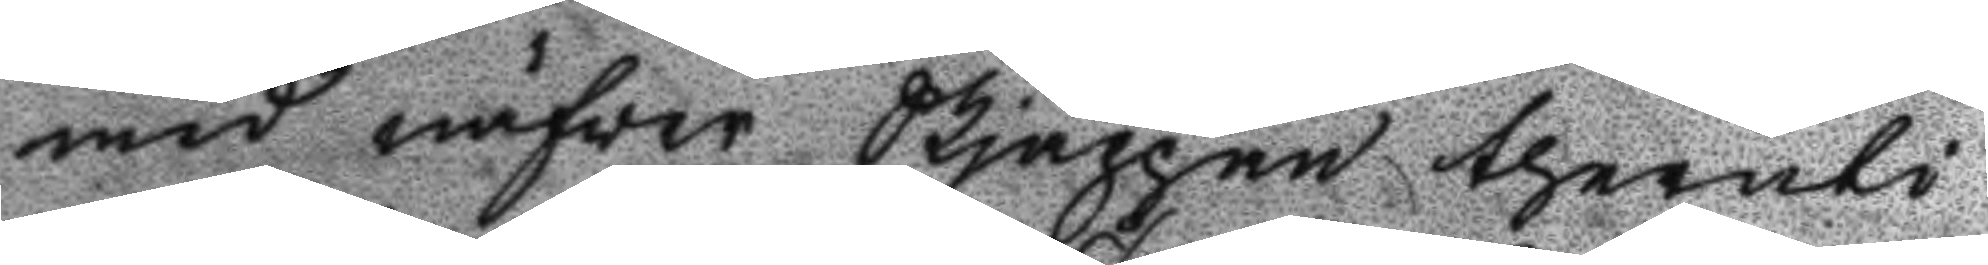med näfver Skjäppan theruti
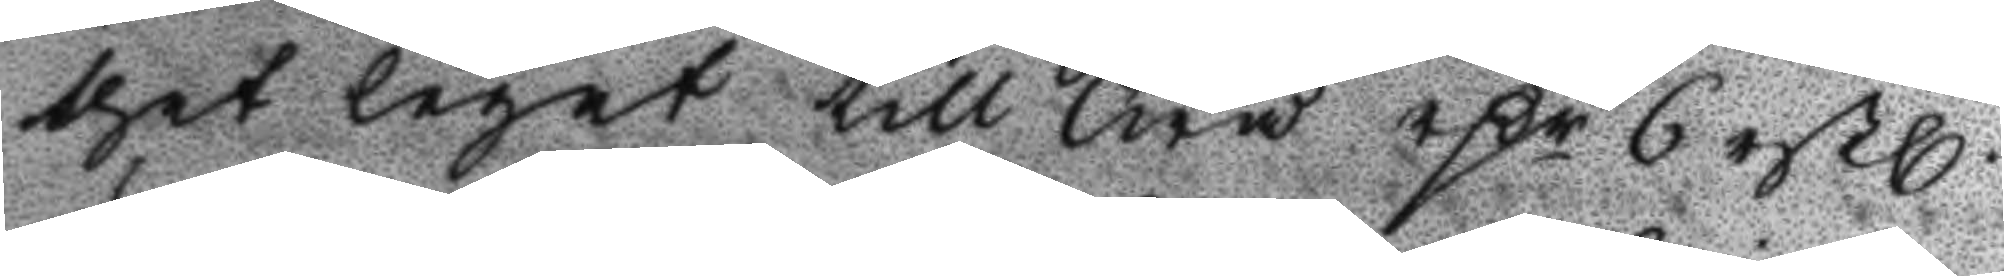thet legat till Twå rßr 6 rßl.
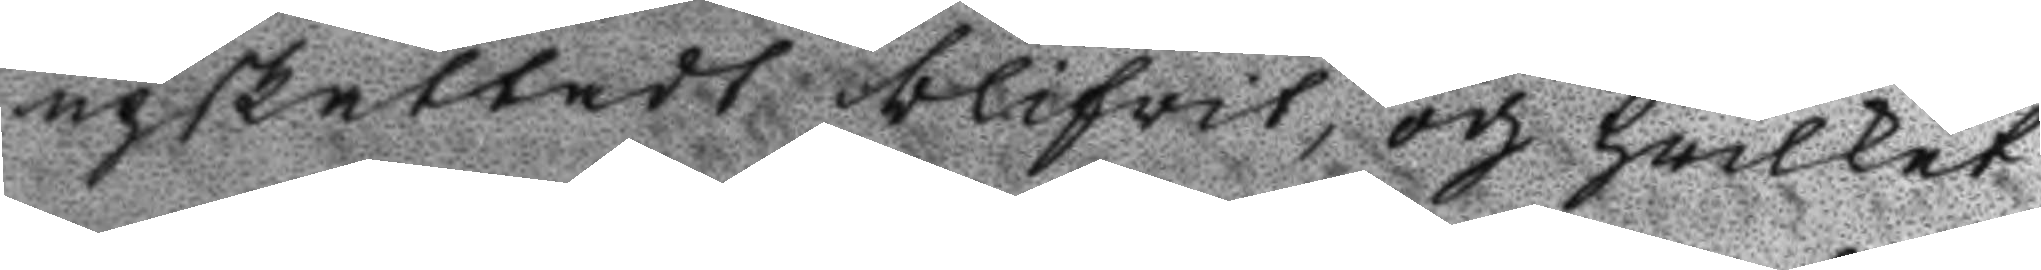upskattadt blifwit, och hwilket
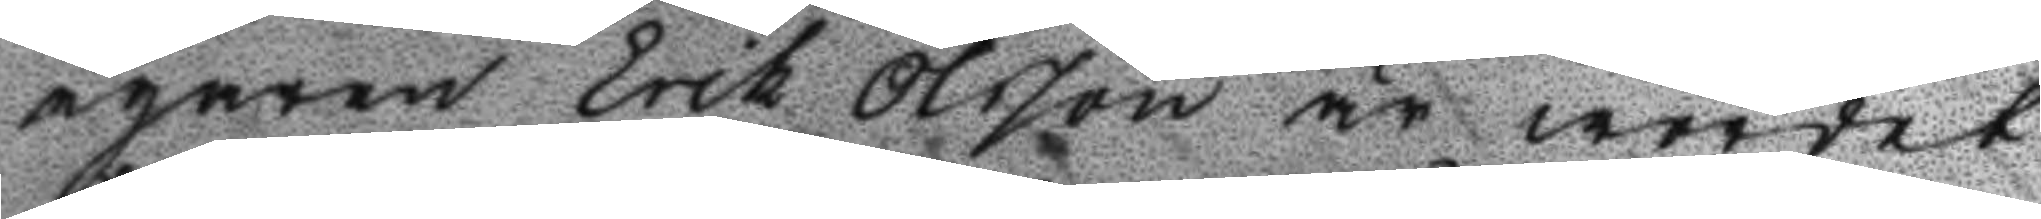egaren Erik Ollson är wordet
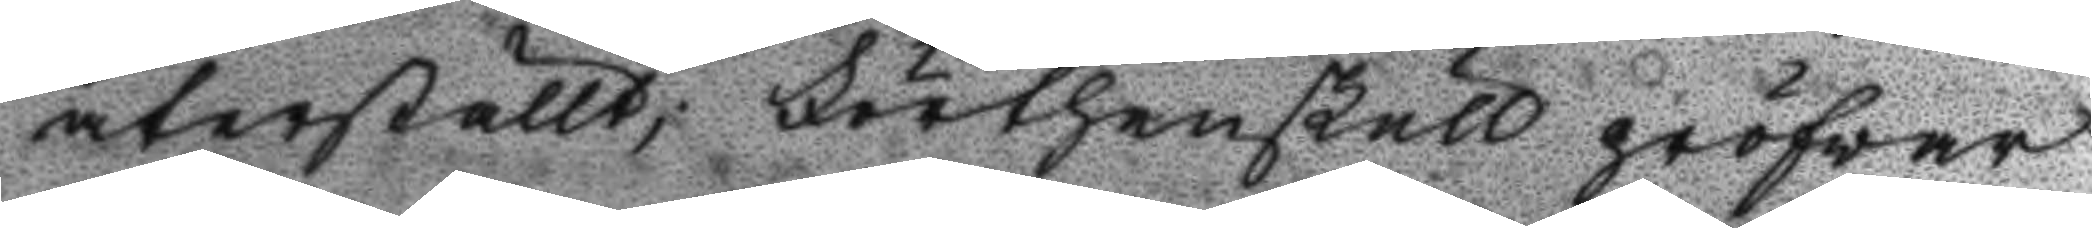återställt; Förthenskull pröfvar
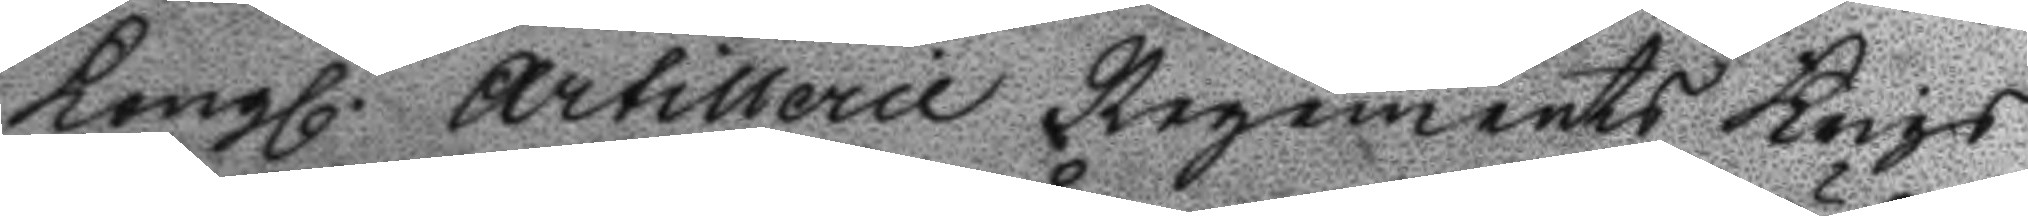Kongl. Artillerie Regments Krigs
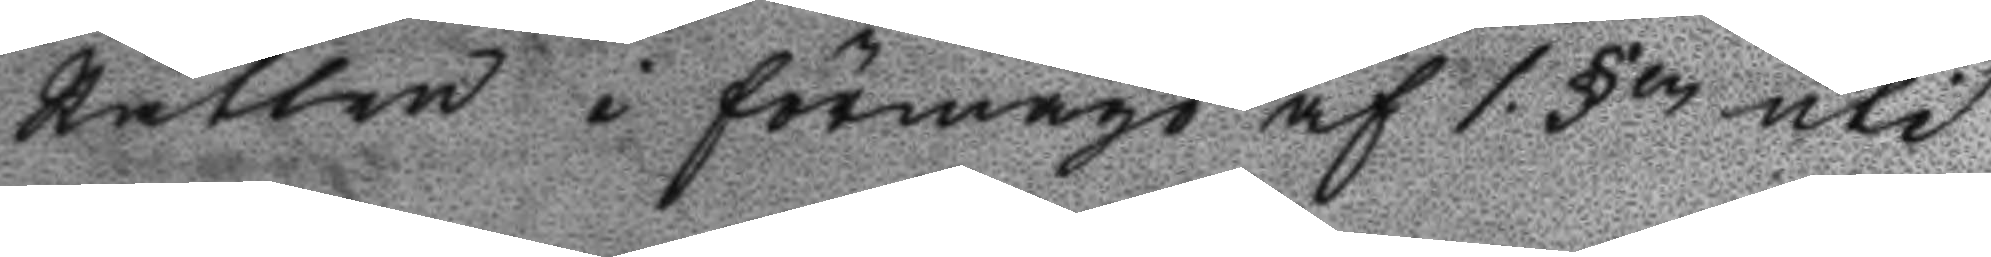Rätten i förmågo af 1 §en uti 
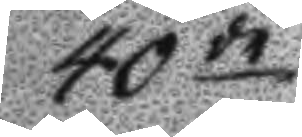40de
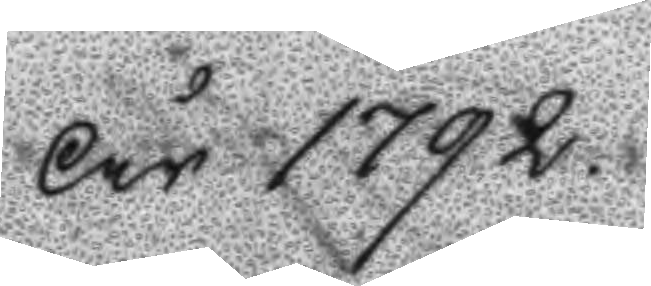År 1792
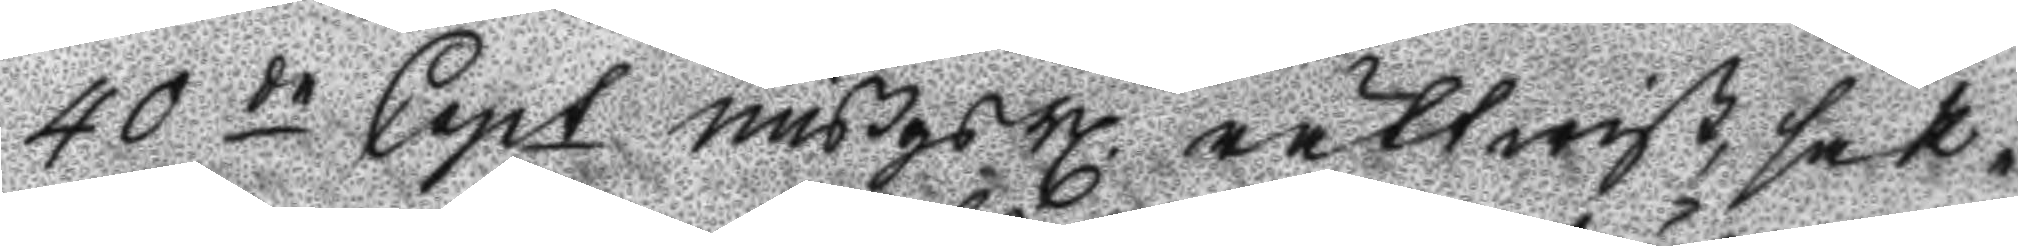40 de Capt mißgs Bl. rättwist, sak¬
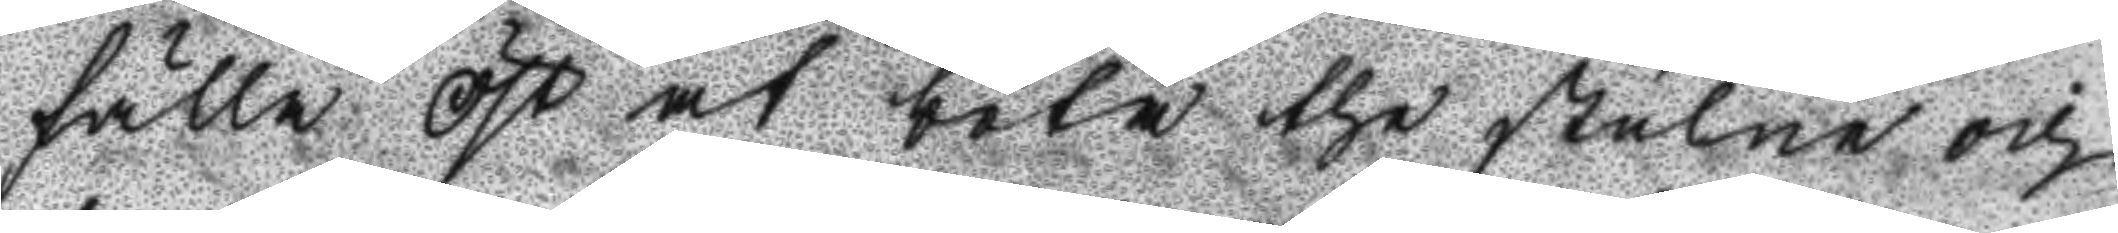fälla Öst at böta the stulne och
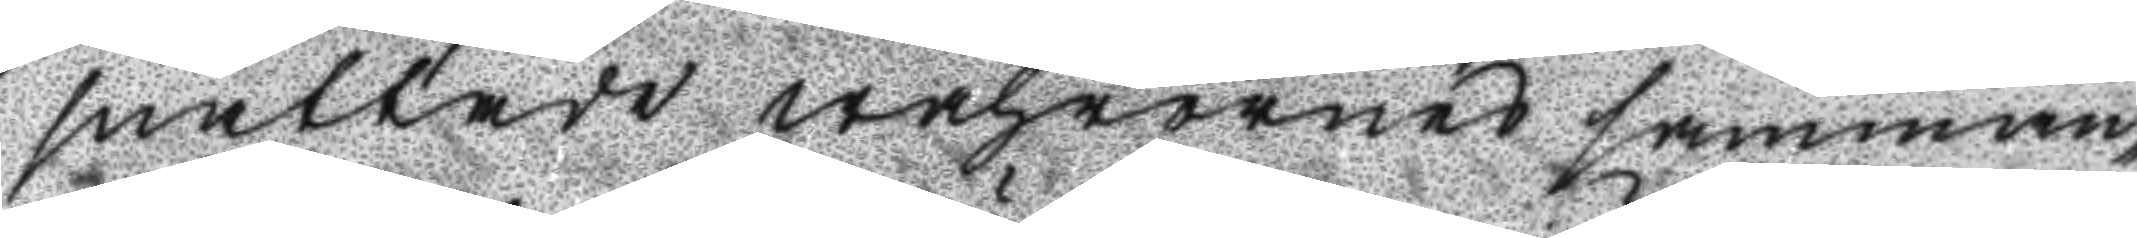snattade wahrornes samman¬
